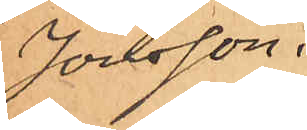Jonsson.
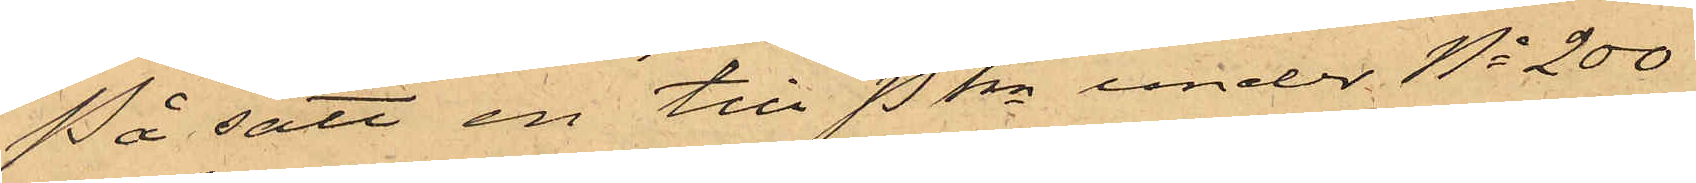På sätt en till Pkn under No 200
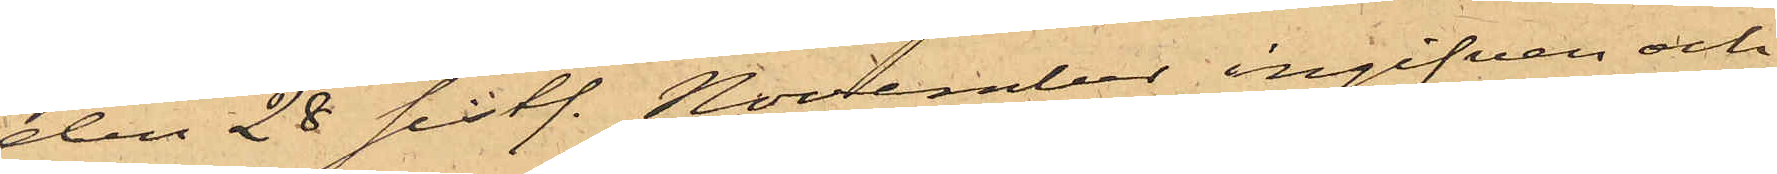den 28 sistl. November ingifven och
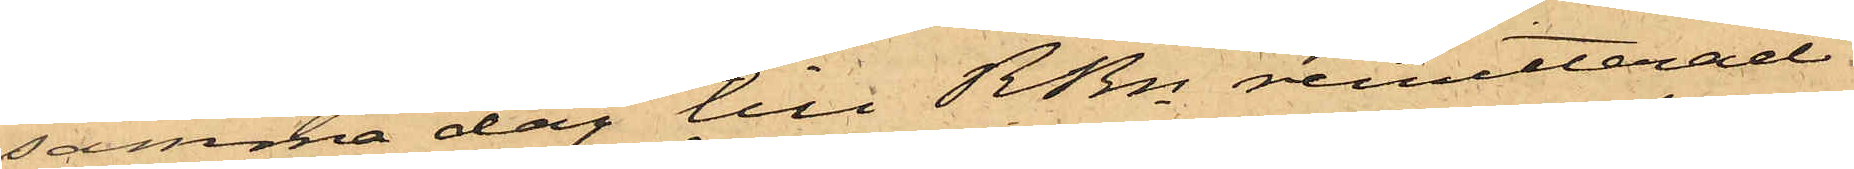samma dag till RRn remitterad
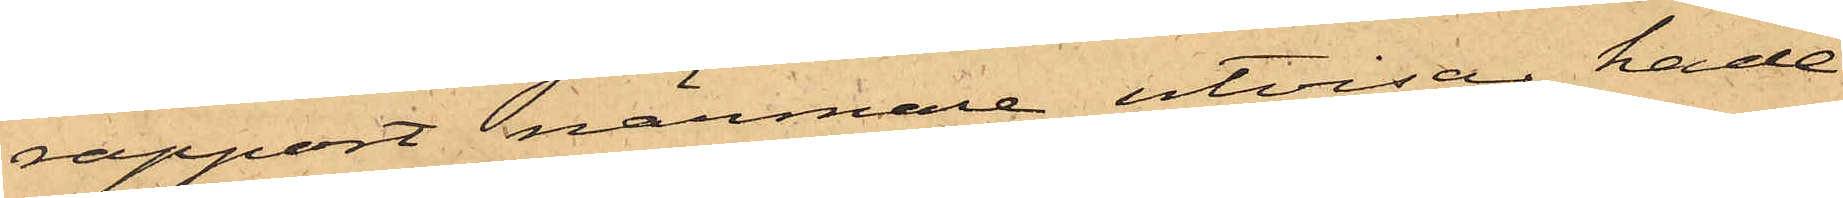rapport närmare utvisar, hade
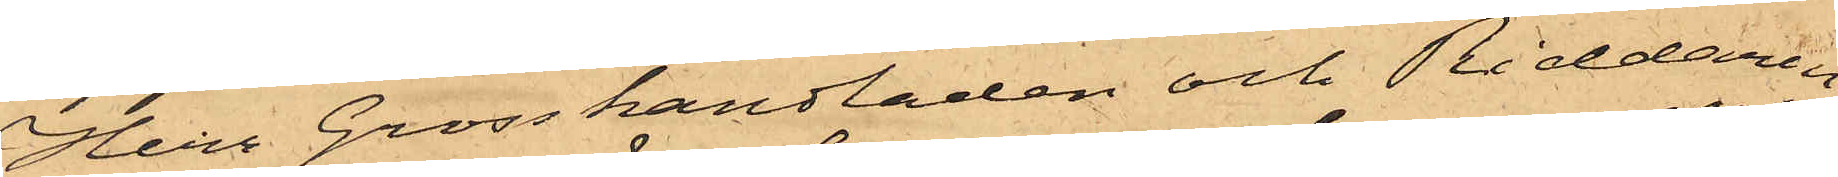Herr Grosshandladen och Riddaren
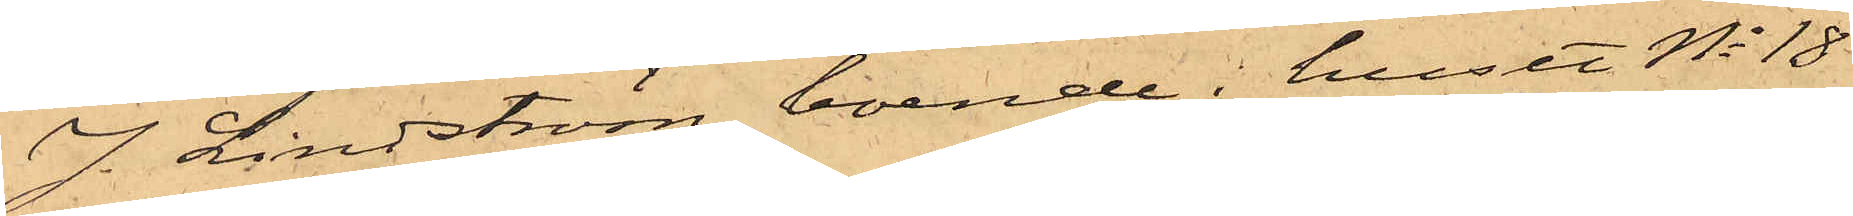J. Lindström, boende i huset No 18
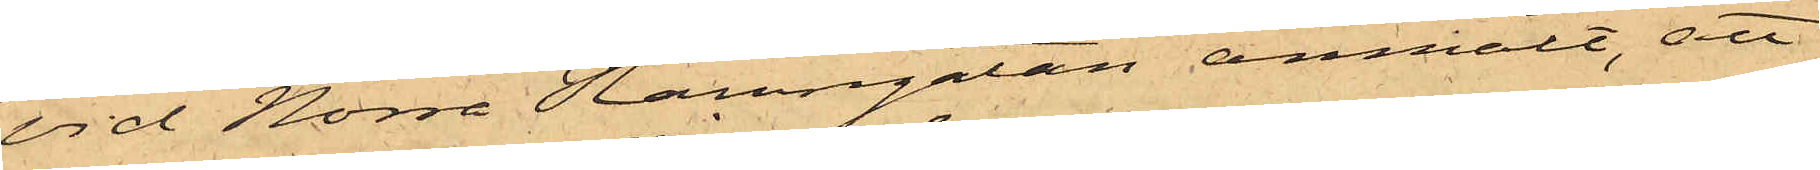vid Norra Hamngatan anmält, att
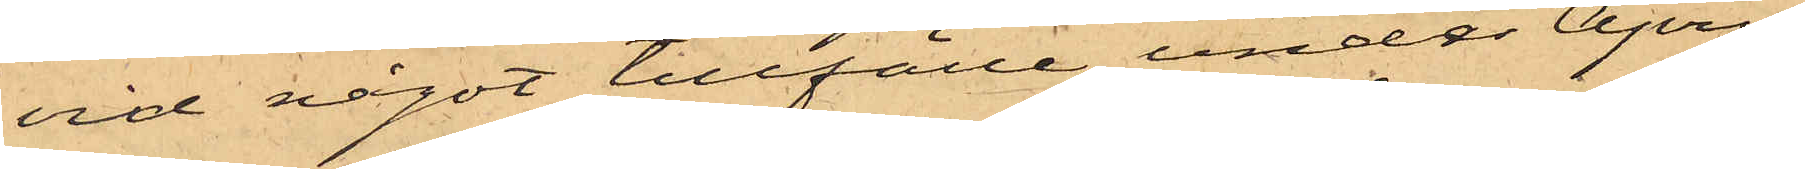vid något tillfälle under April
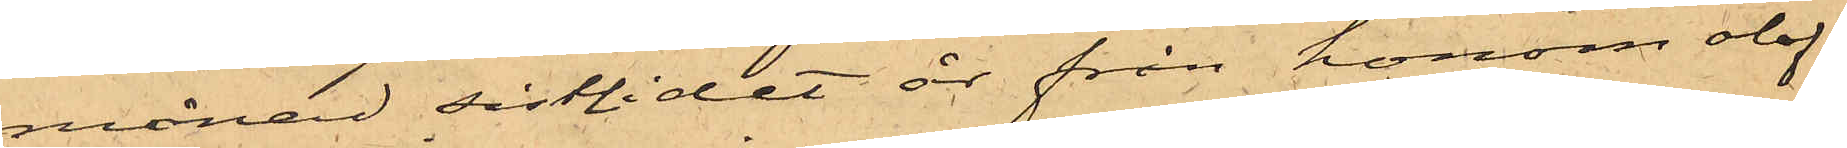månad sistlidet år från honom olof¬
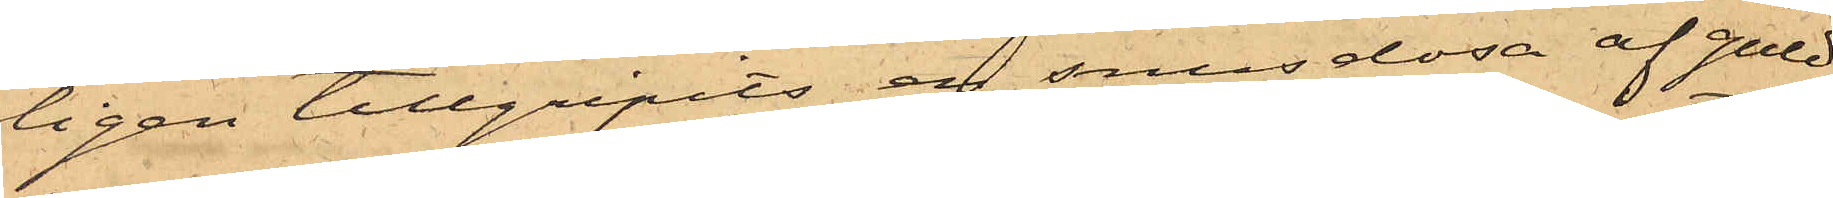ligen tillgripits en snusdosa af guld,
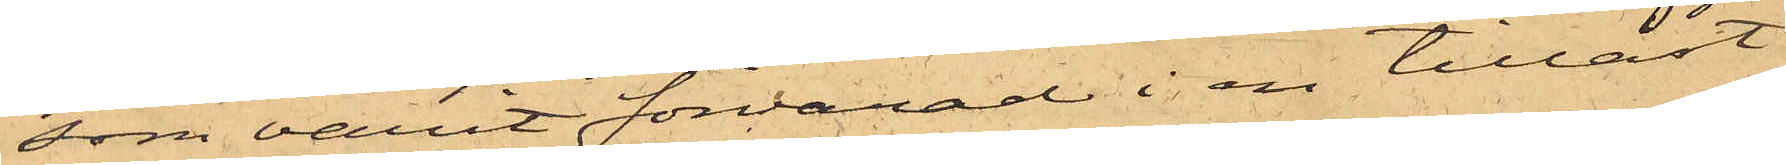som varit förvarad i en tillåst
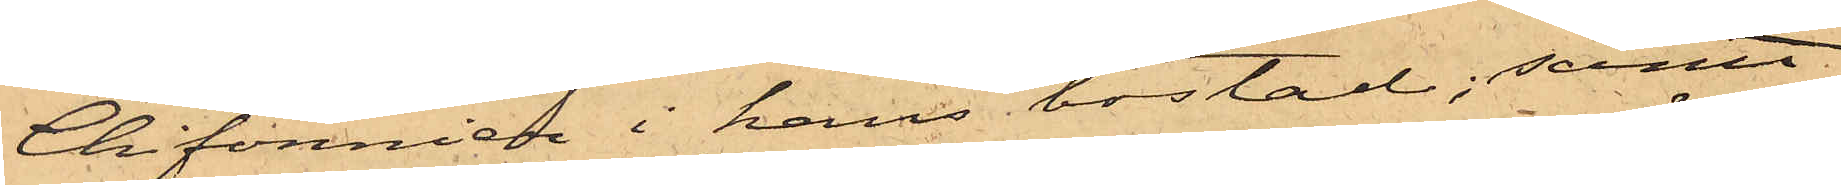Chifonnier i hans bostad; samt
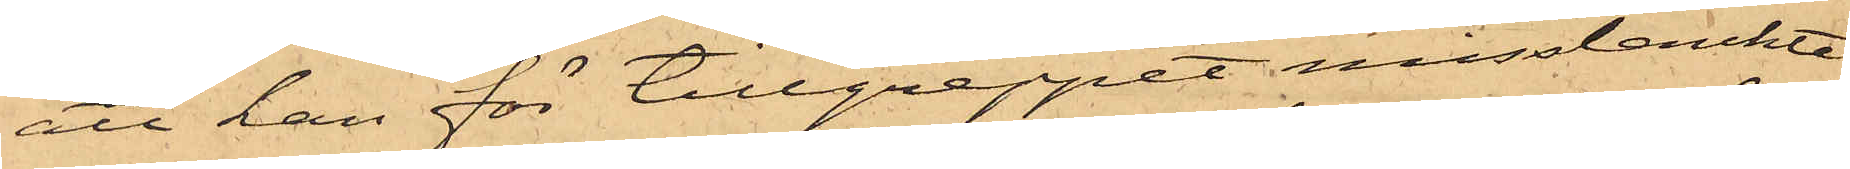att han för tillgreppet misstänkte
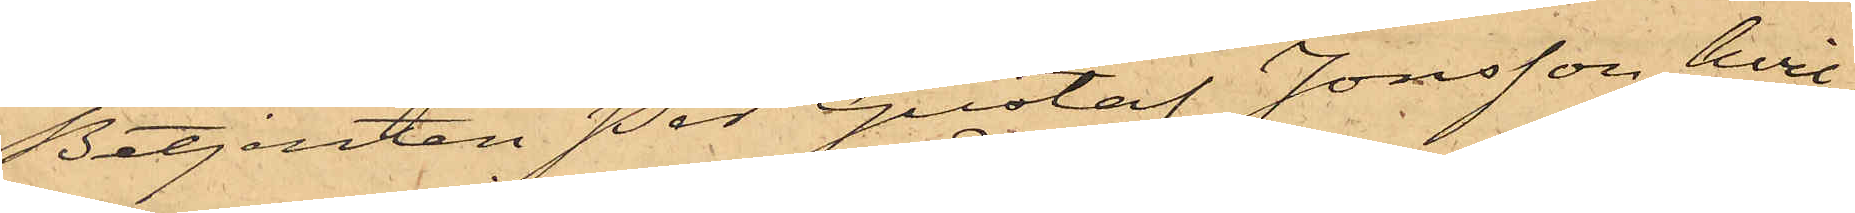Betjenten Per Gustaf Jonsson, hvil¬
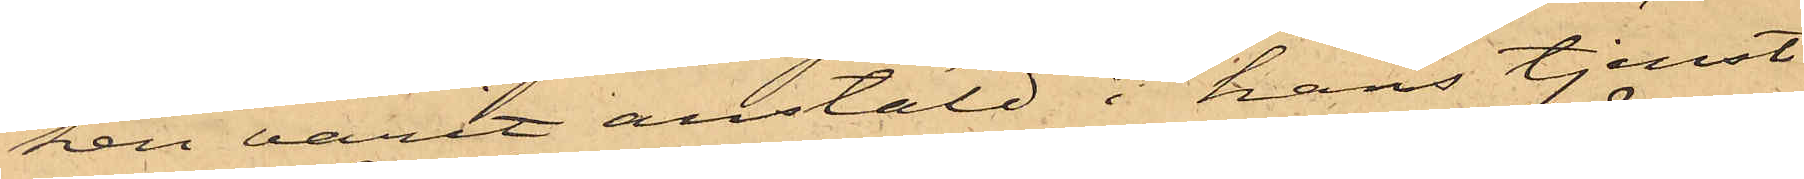ken varit anstäld i hans tjenst
